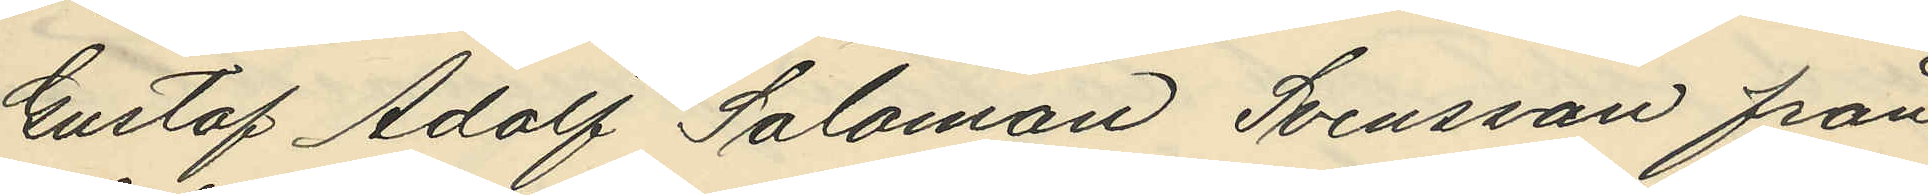Gustaf Adolf Salomon Svensson från
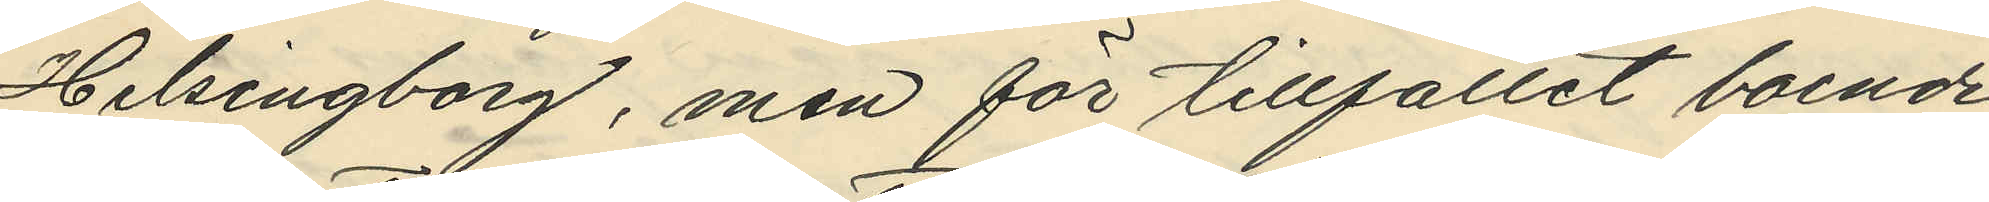Helsingborg, men för tillfället boende
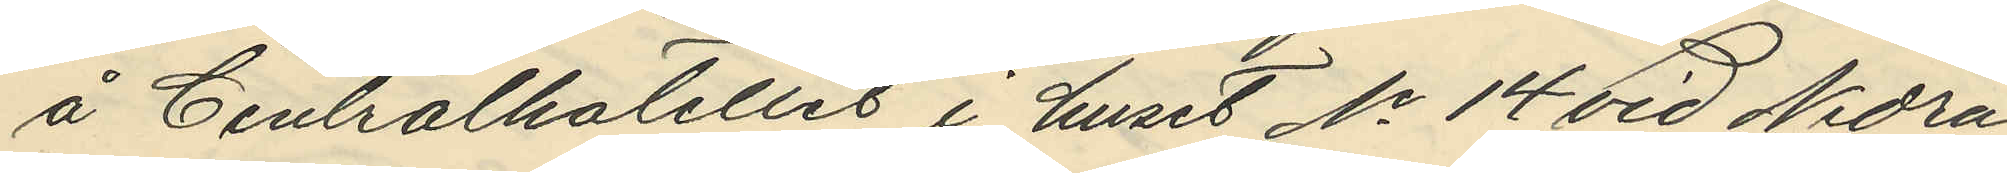å Centralhotellet i huset No 14 vid Nedra
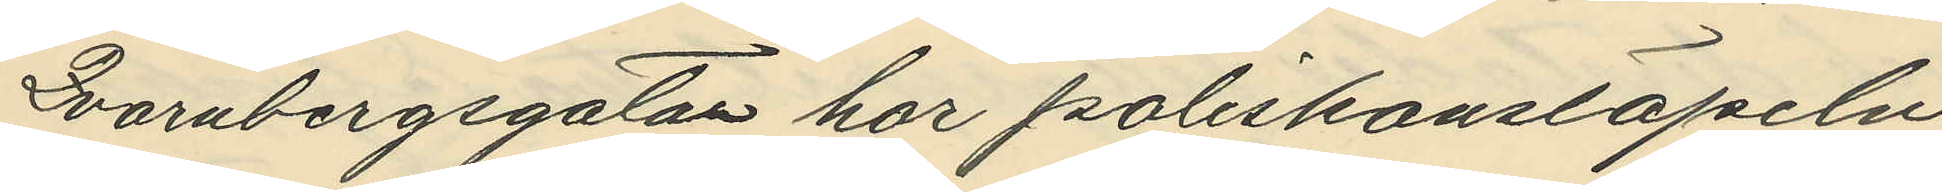Qvarnbergsgatan har poliskonstapeln
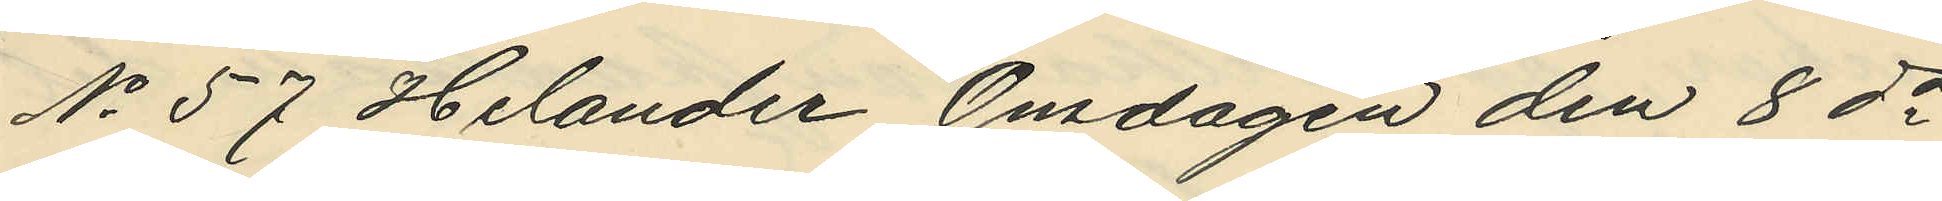No 57 Helander Onsdagen den 8 ds
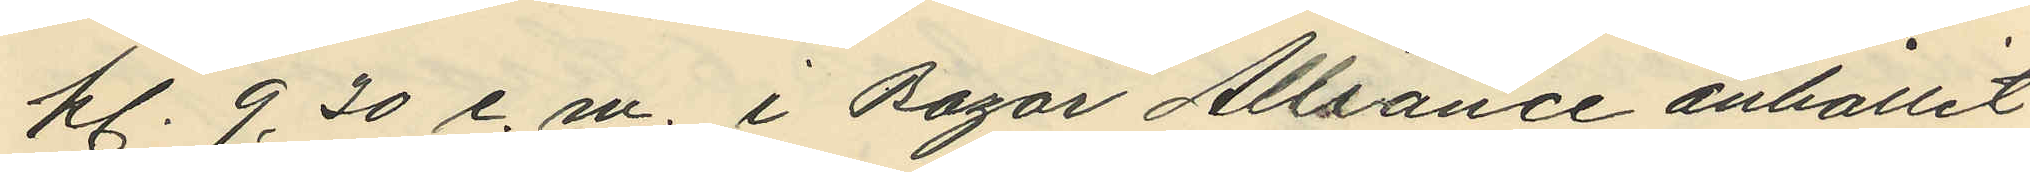kl. 9,30 e. m. i Bazar Alliance anhållit
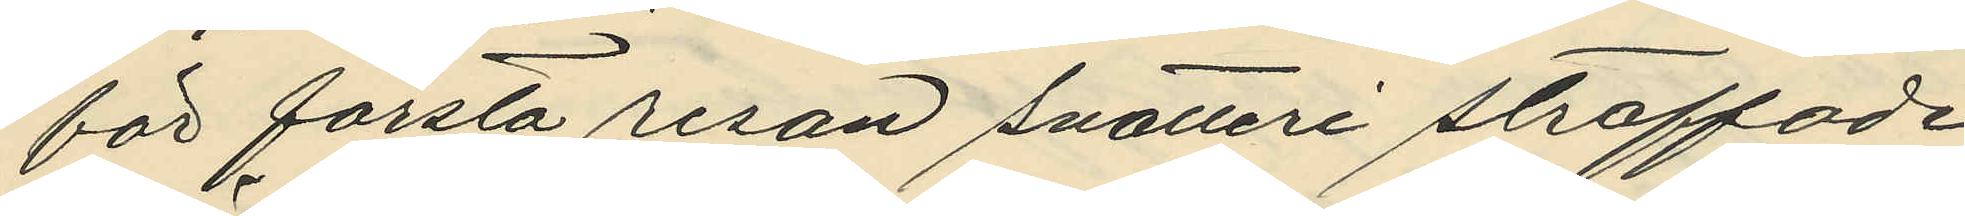för första resan snatteri straffade
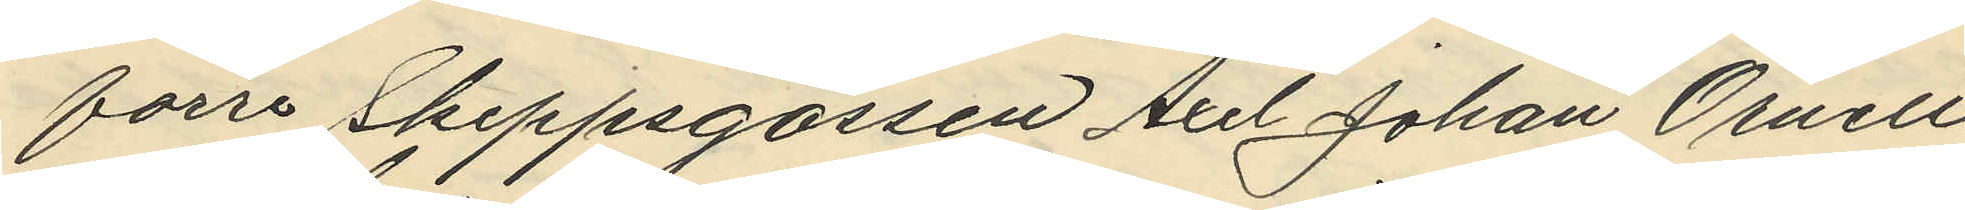förre Skeppsgossen Axel Johan Örnell
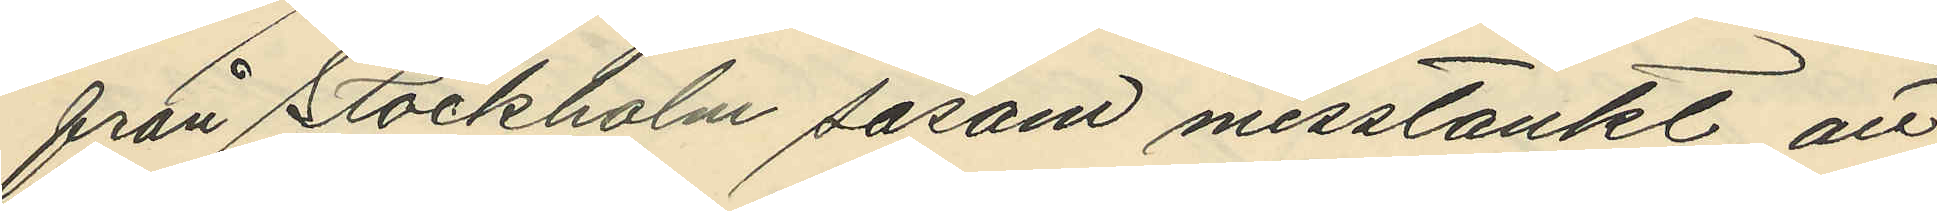från Stockholm såsom misstänkt att
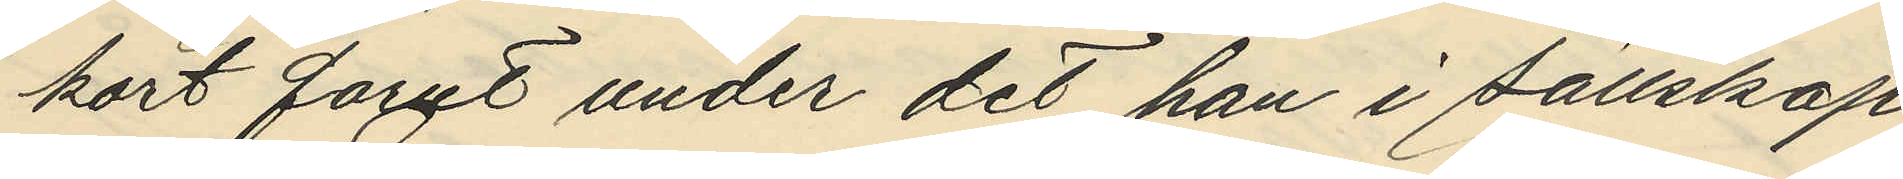kort forut under det han i sällskap
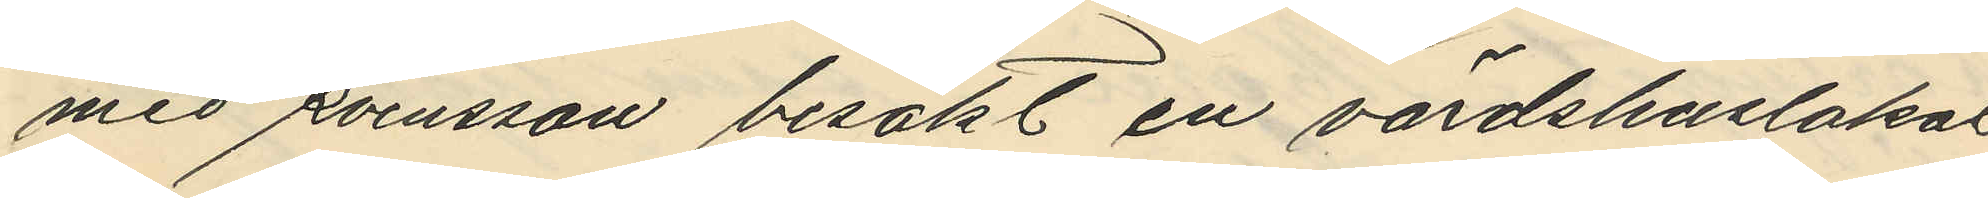med Svensson besökt en värdshuslokal
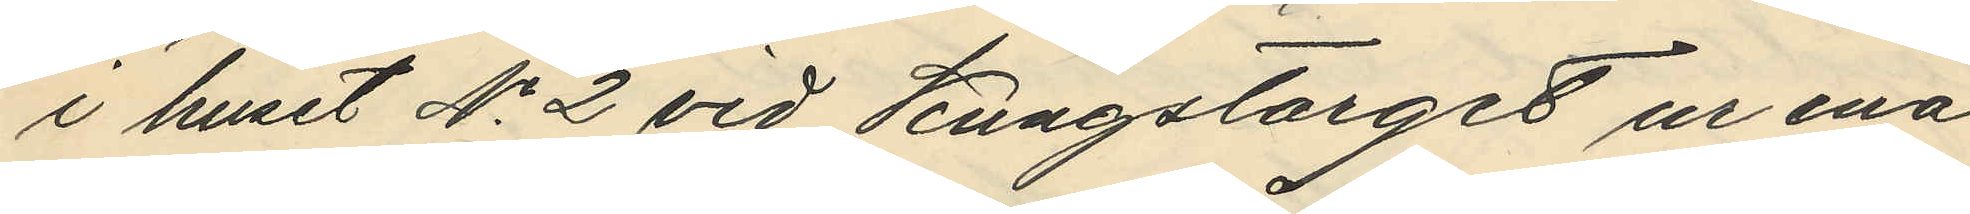i huset No 2 vid Kungstorget ur ena
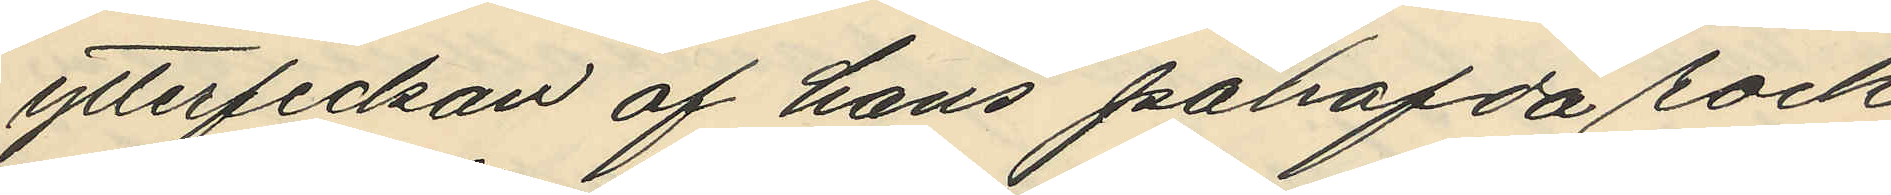ytterfickan af hans påhafda rock
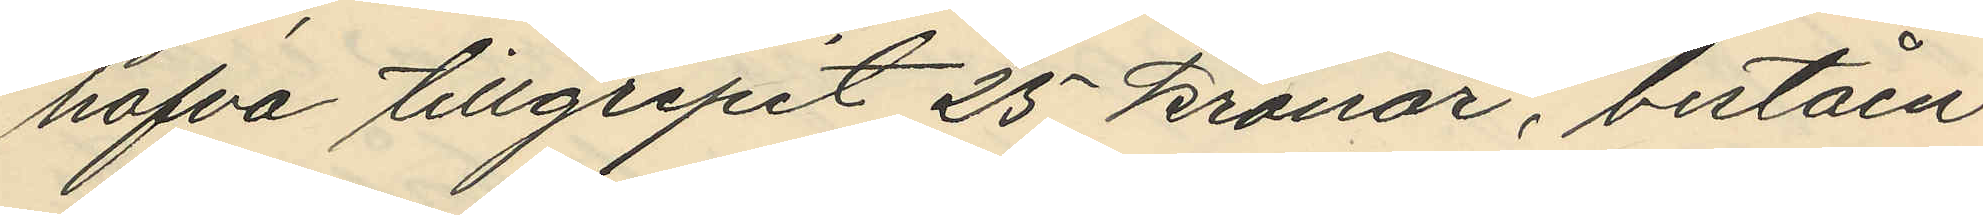hafva tillgripit 25 kronor, beståen¬
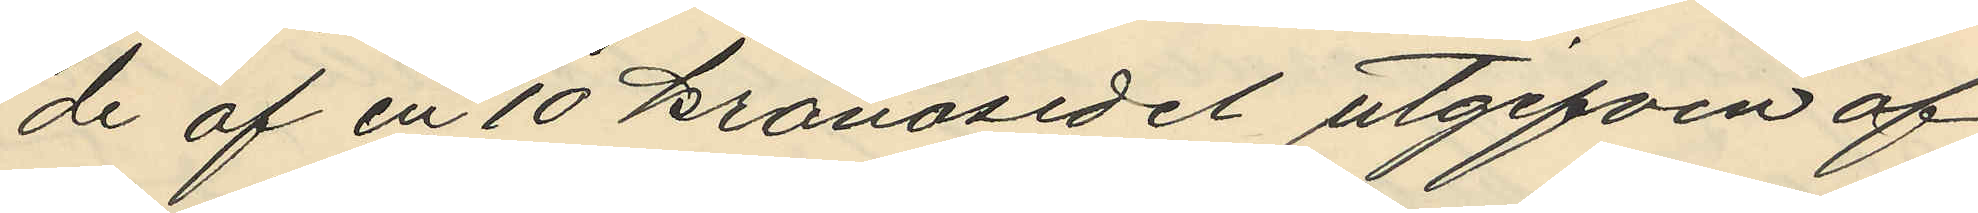de af en 10 kronosedel utgifven af
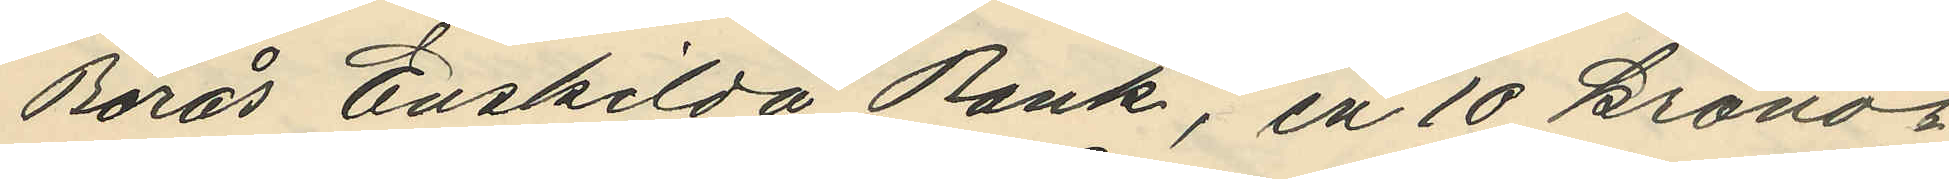Borås Enskilda Bank, en 10 krono¬
